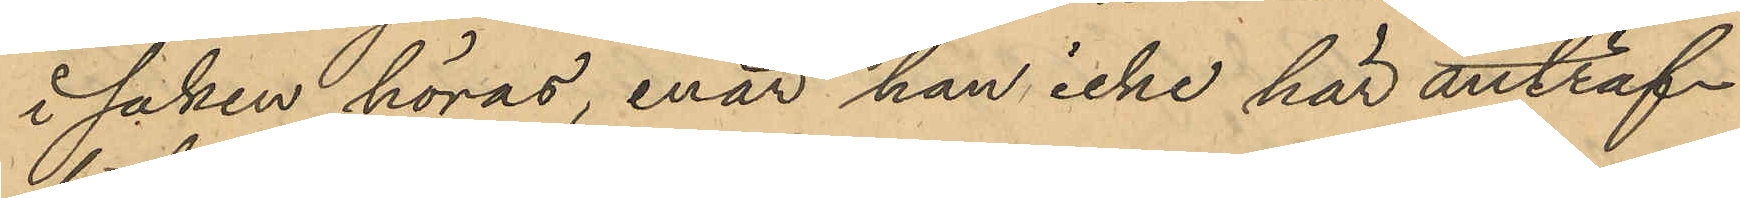i saken höras, enär han icke har anträf¬
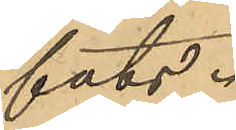fats.
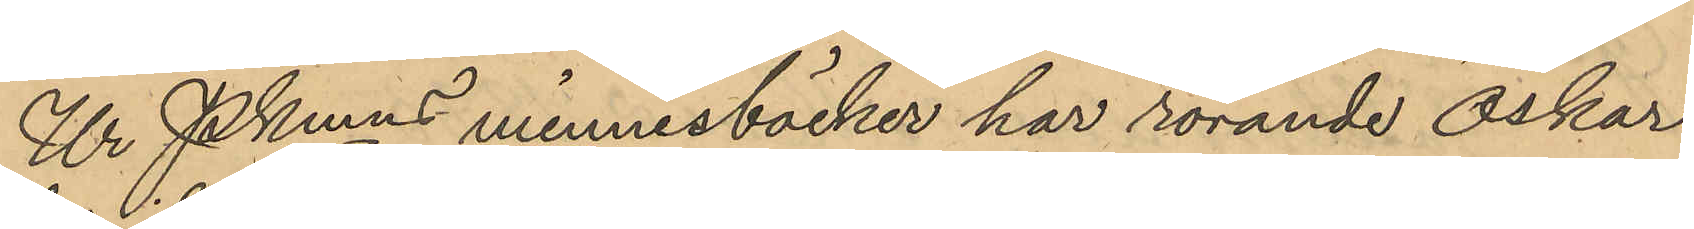Ur Pkmns minnesböcker har rörande Oskar
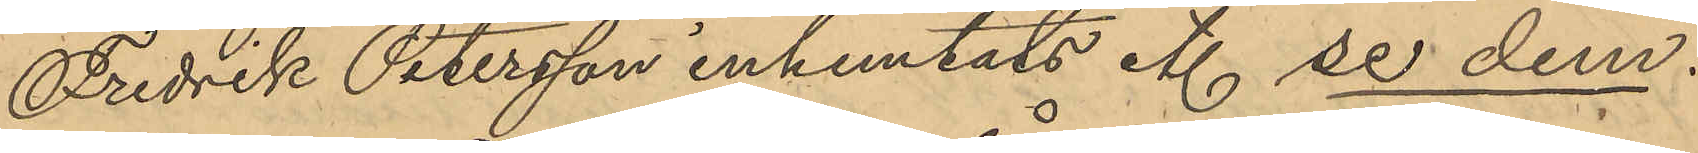Fredrik Petersson inhemtats etc. se dem.
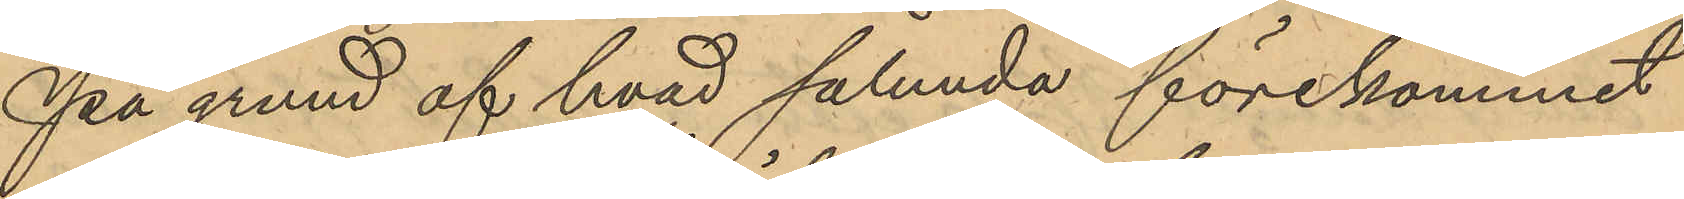På grund af hvad sålunda förekommit
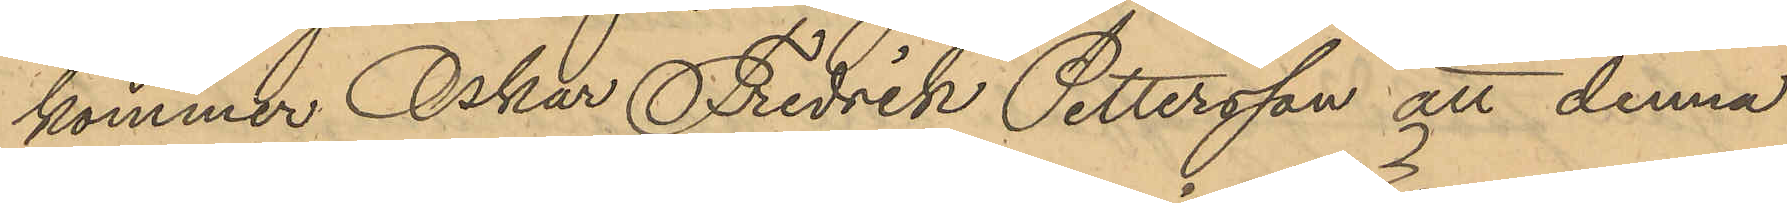kommer Oskar Fredrik Pettersson att denna
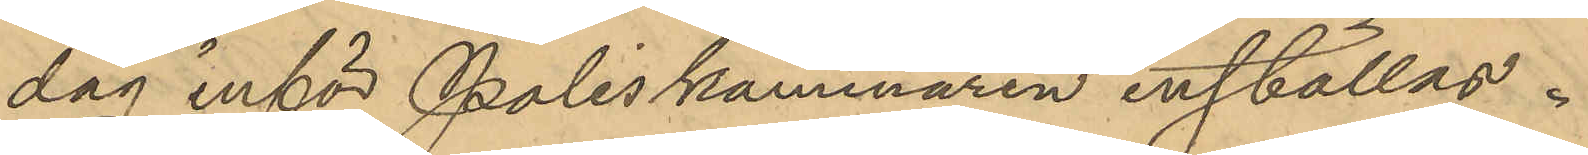dag inför Poliskammaren inställas.
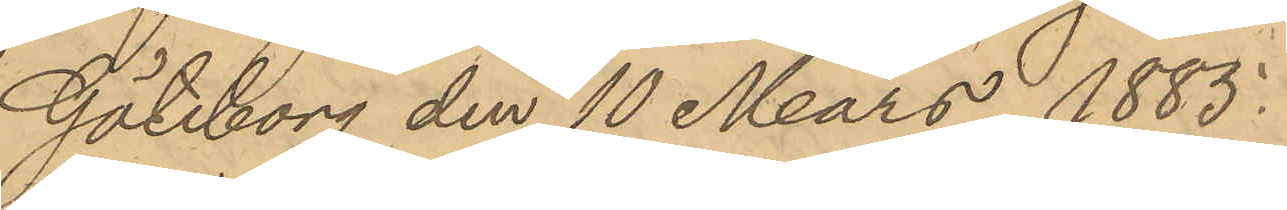Göteborg den 10 Mars 1885.
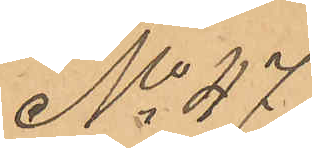No 47
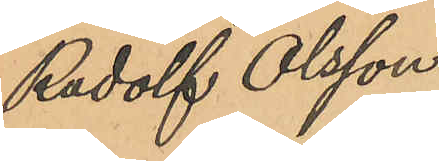Rudolf Olsson
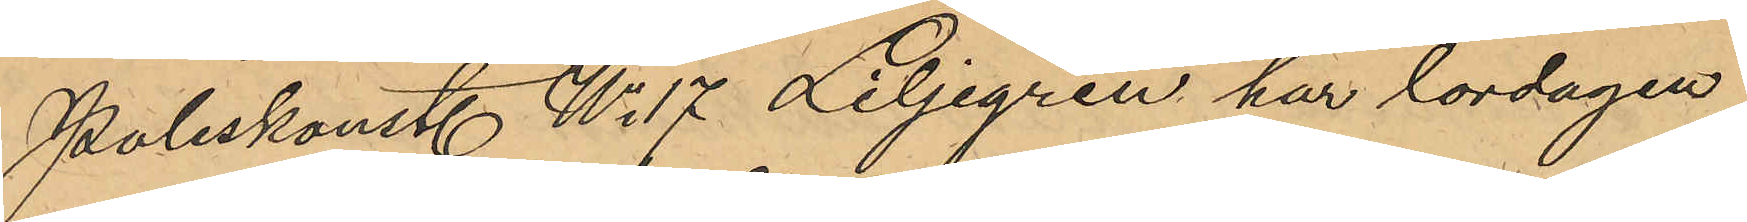Poliskonst. No 17 Liljegren har lördagen
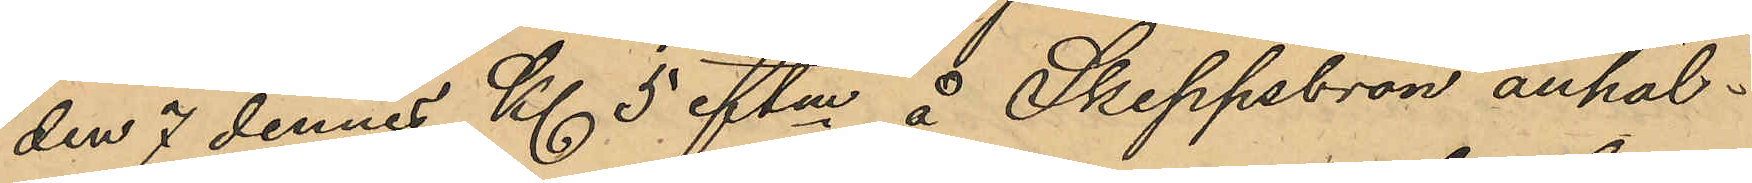den 7 dennes Kl. 5 eftm å Skeppsbron anhål¬
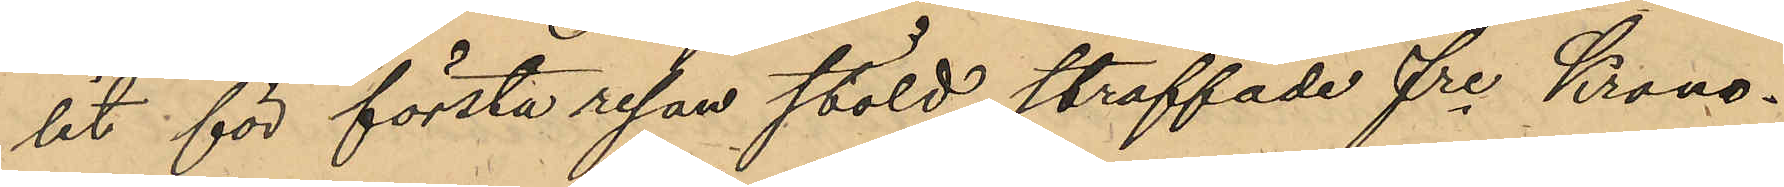lit för första resan stöld straffade fre Krono¬
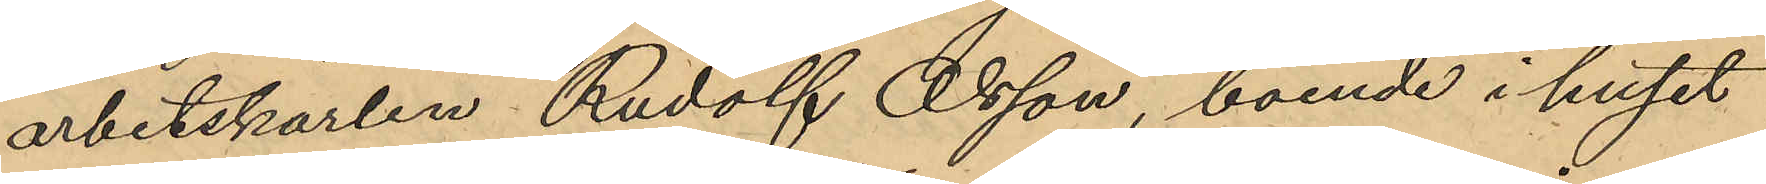arbetskarlen Rudolf Olsson, boende i huset
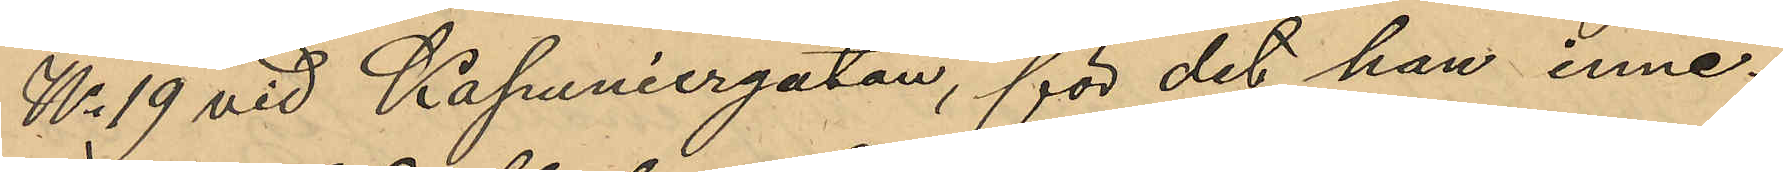No 19 vid Kapuniergatan, för det han inne¬
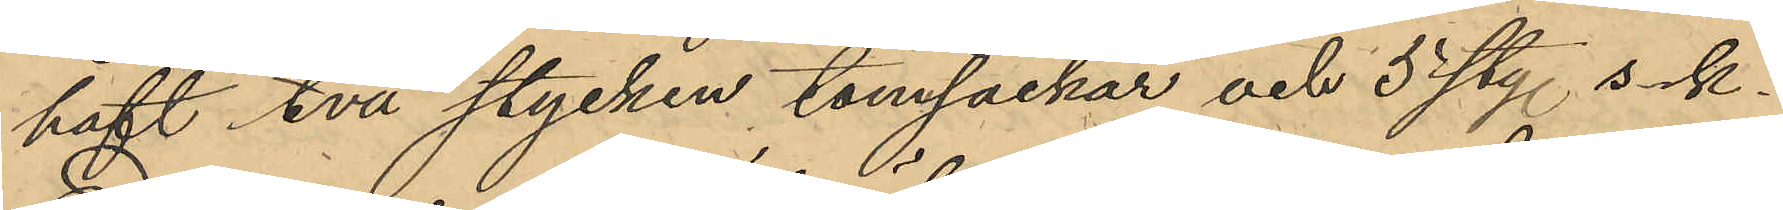haft två stycken tomsäckar och 5 sty. s.k.
